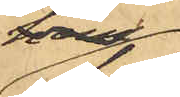hem¬
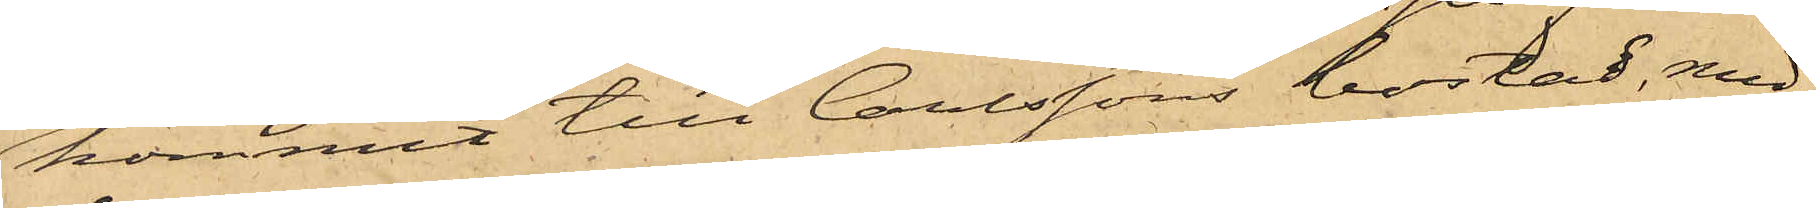kommit till Carlssons bostad, med¬
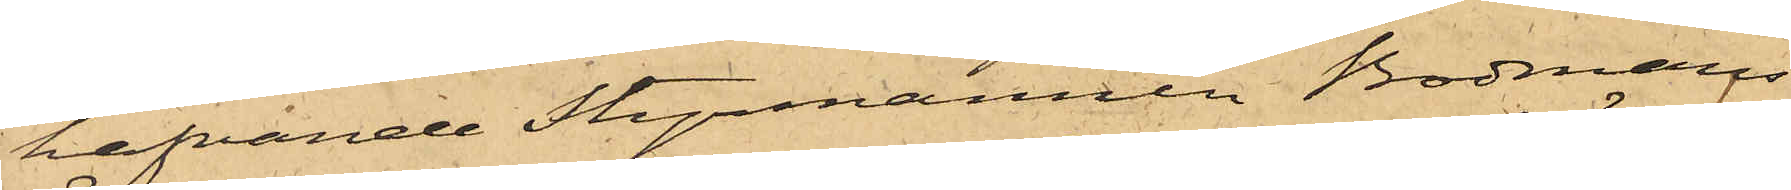hafvande Styrmannen Bodmans
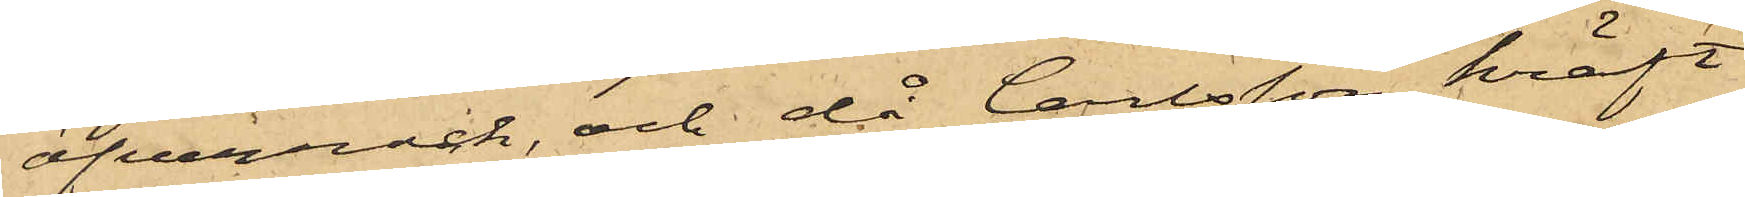öfverrock, och då Carlsson kräft
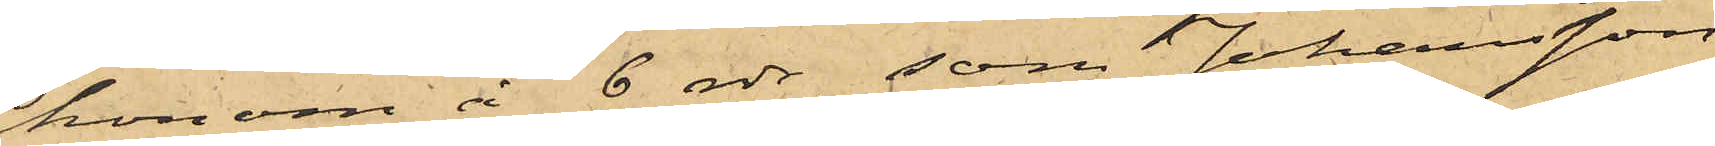honom å 6 rdr, som Johansson
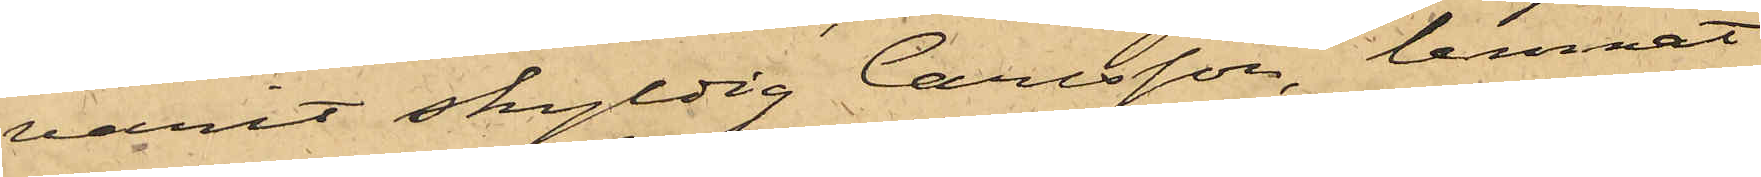varit skyldig Carlsson, lemnat
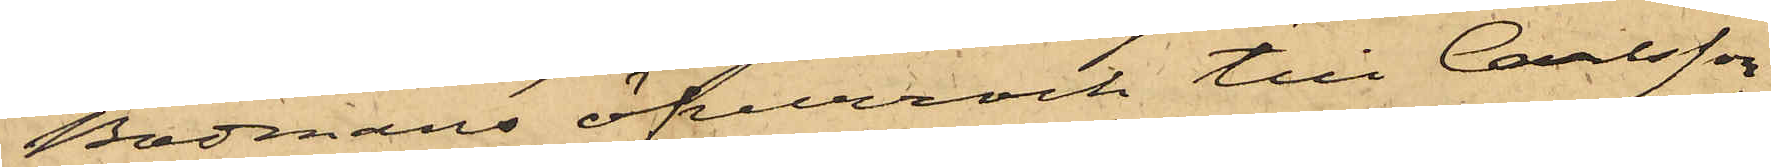Bodmans öfverrock till Carlsson
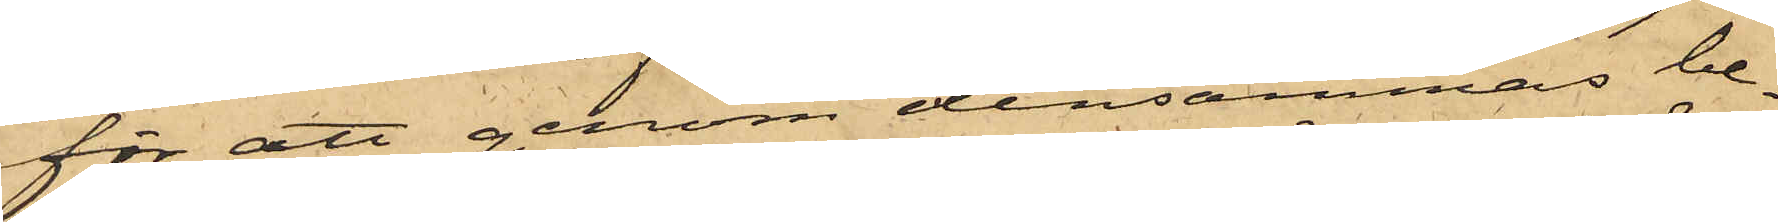för att genom densammas be¬
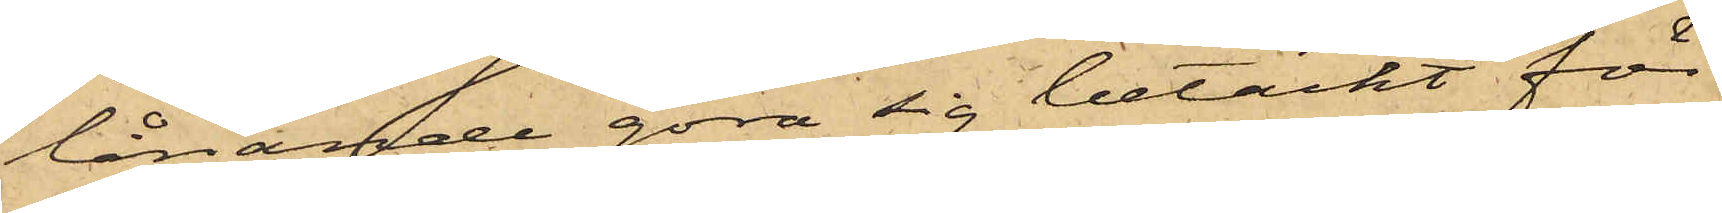lånande göra sig betäckt för
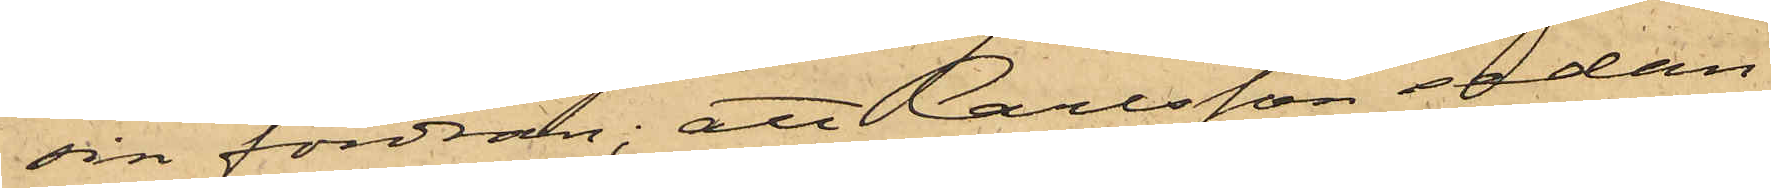sin fordran; att Carlsson sedan
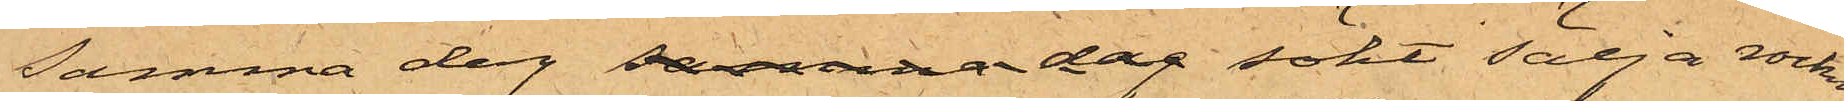samma dag samma dag sökt sälja rocken
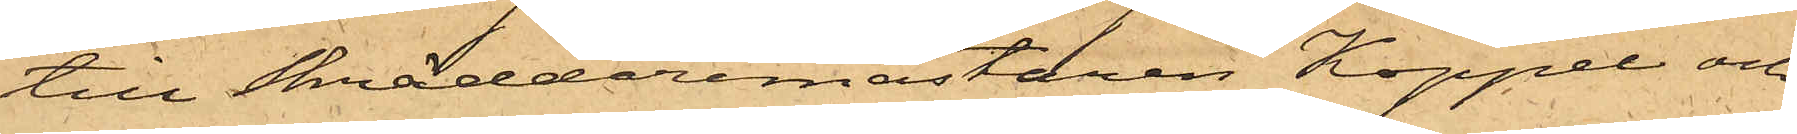till Skräddaremästaren Koppel och
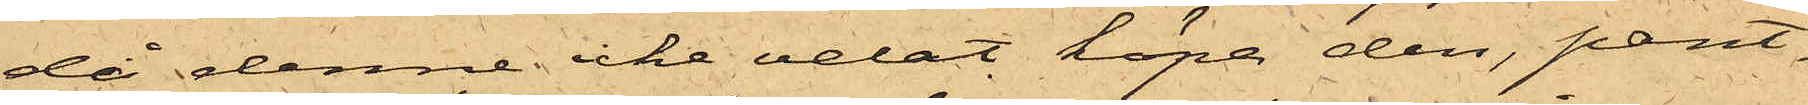då denne icke velat köpa den, pant¬
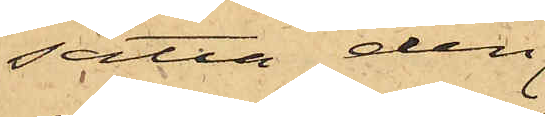sätta den¬
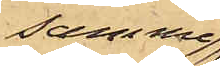samma
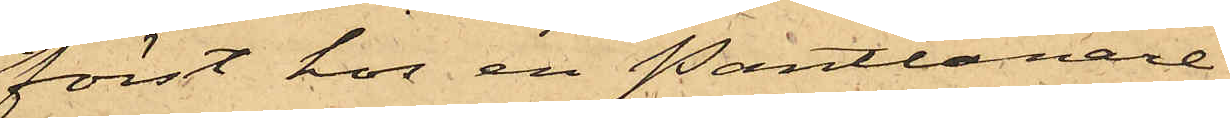först hos en Pantlånare
